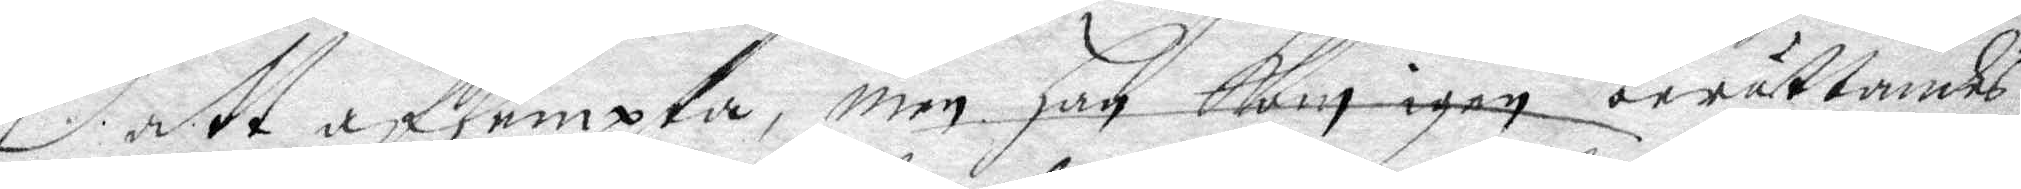att afhempta, men han kom igen berättandes
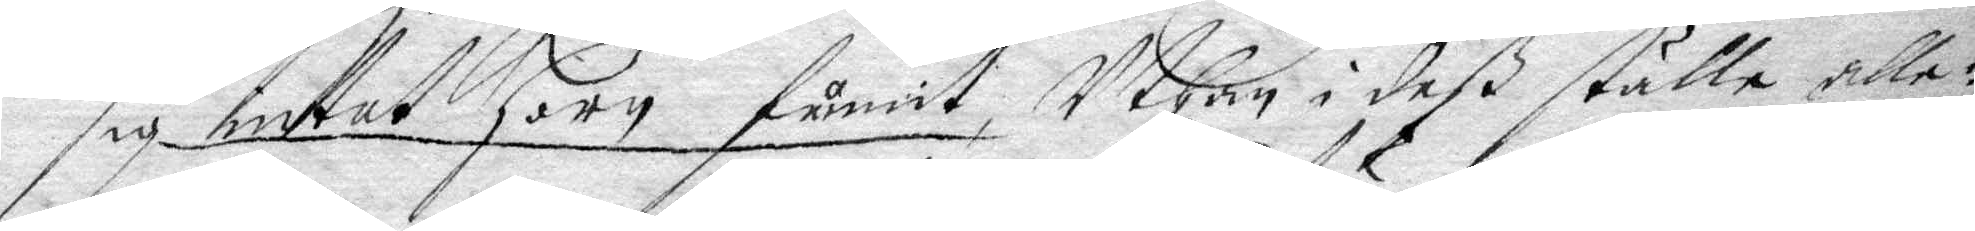sig intet horn funnit, Uthan i deß ställe alle¬
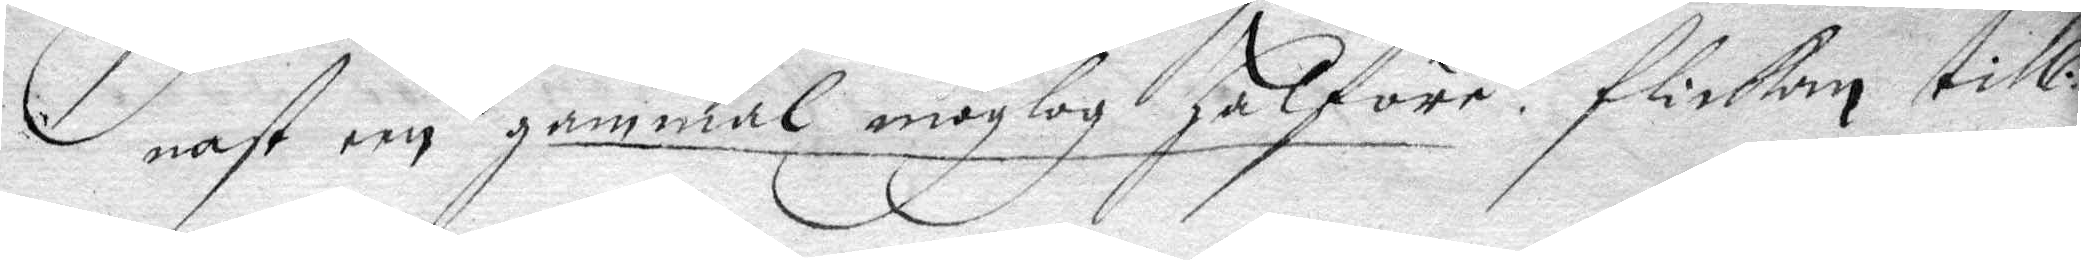nast en gammal möglog Halföre, flickan till¬
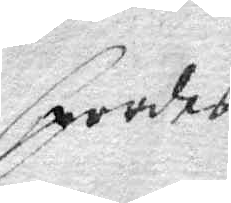spordes
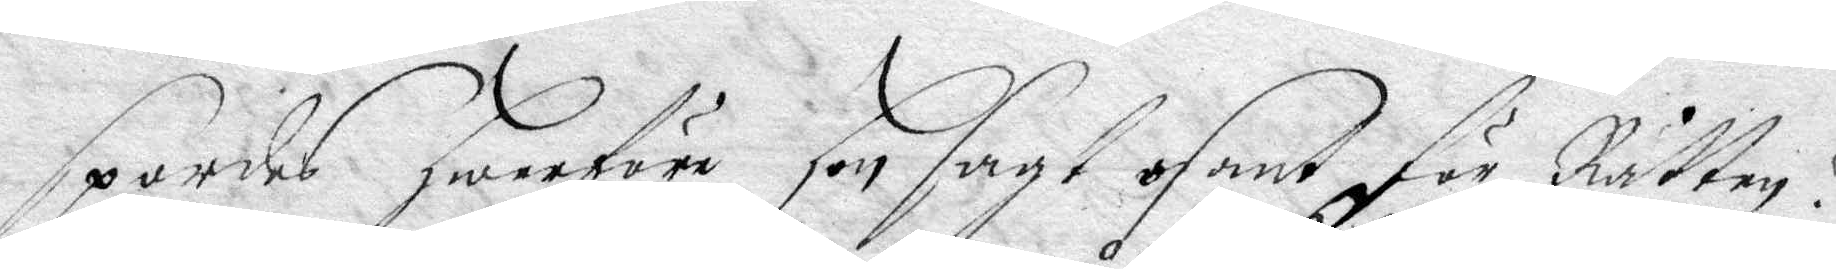spordes hwarföre hon sagt osant för Rätten?
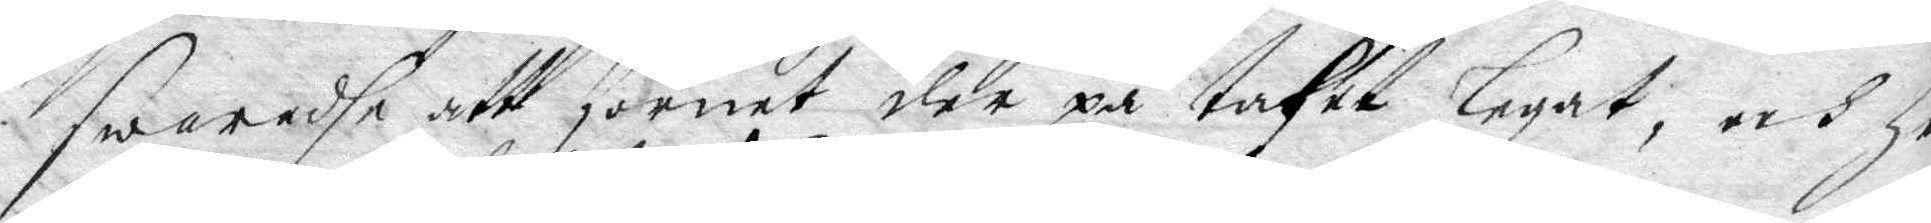swaradhe att hornet der på taket legat, och he¬
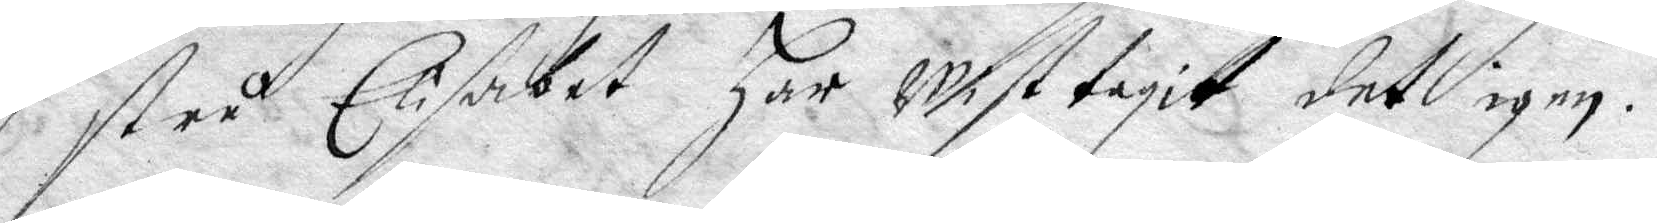stru Elisabet har Wist tagit det igen.
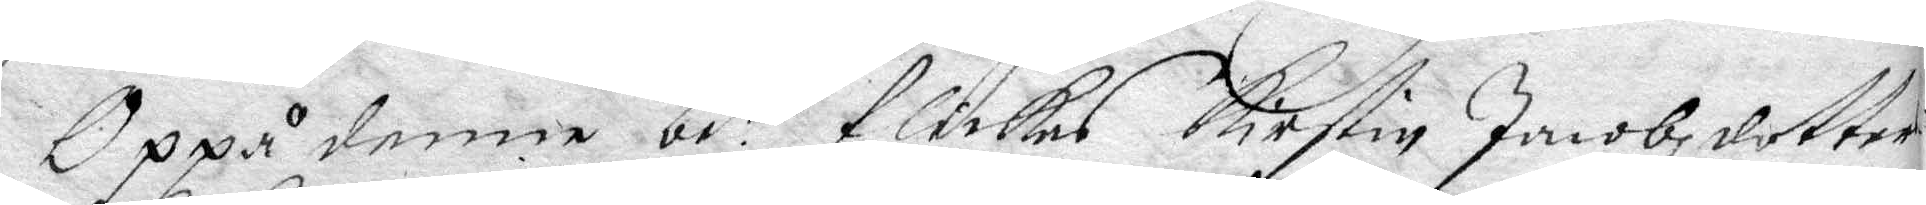Oppå denne be.te flickas Kirstin Jacobsdotter 
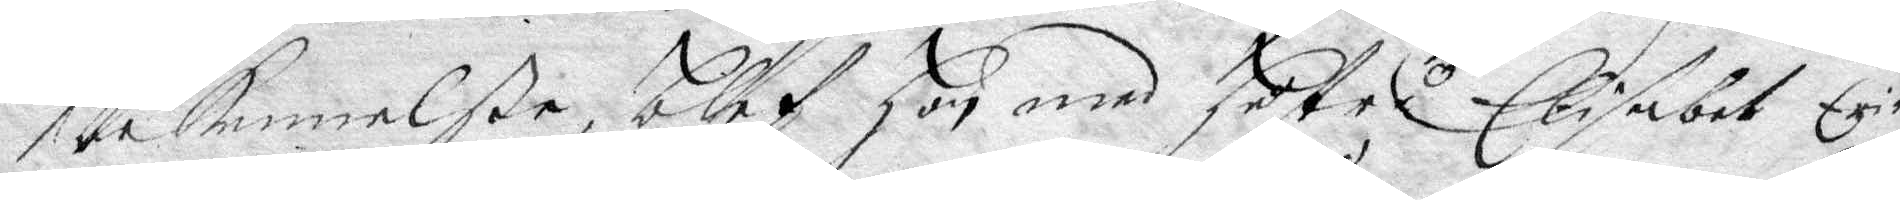bekennelße, blef hon med hust. Elisabet Erichs¬
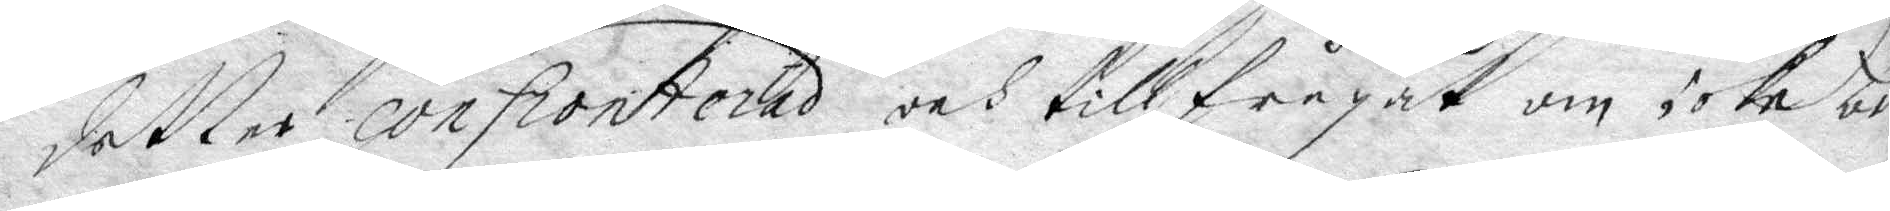dotter confronterad och tillfrågat om icke be
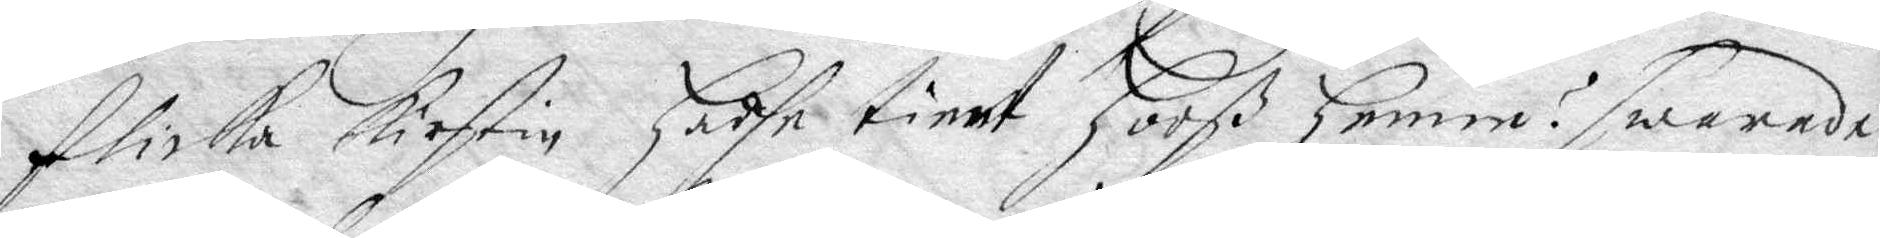flicka Kirstin hadhe tient hooß henne? swarade
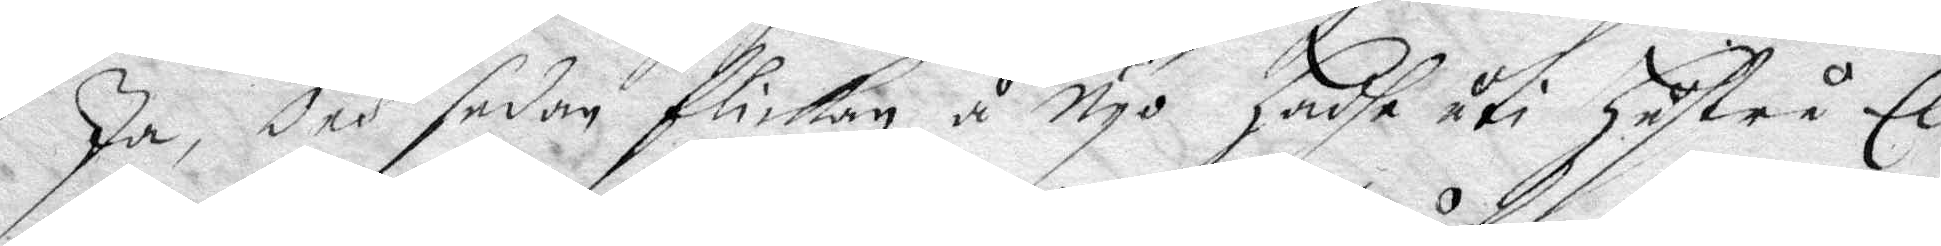Ja, Och sedan flickan å Nyo hadhe uti Hustru El¬
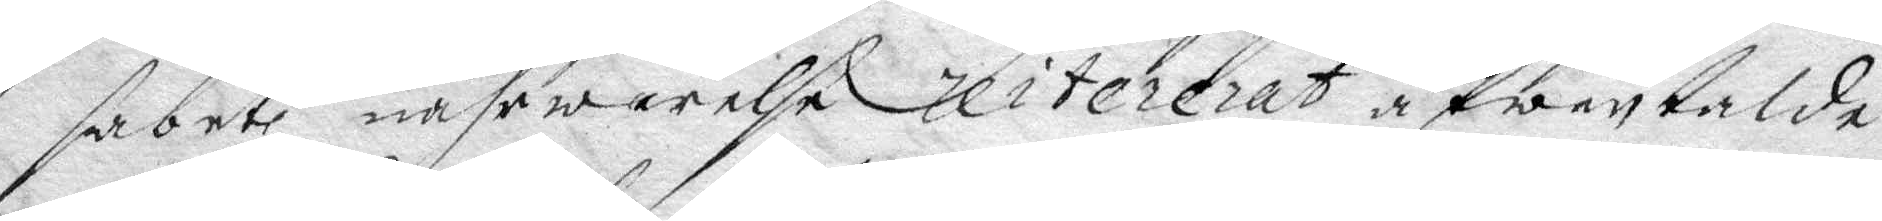sabet nährwarelse reitererat åfwantalde
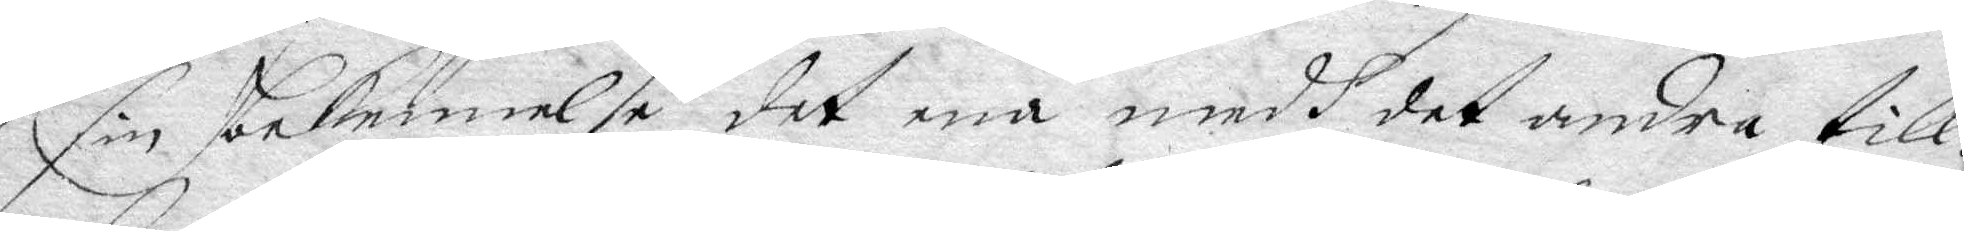sin bekennelse det ena medh det andra till¬
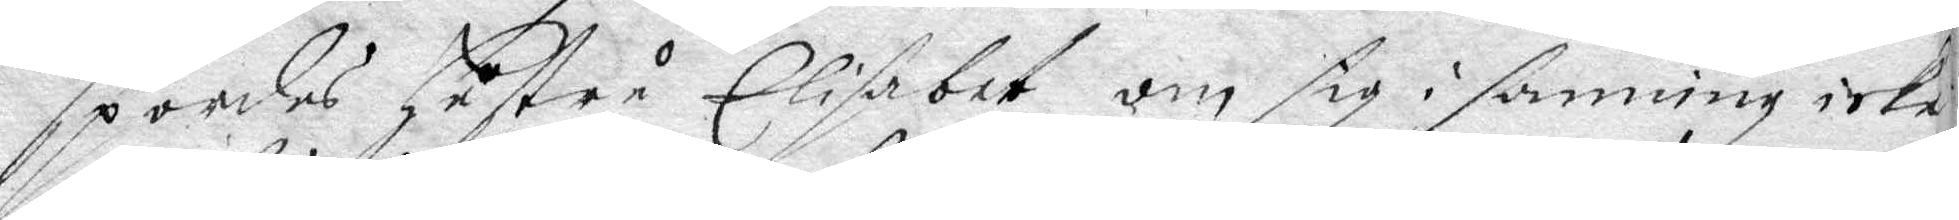spordes hustru Elisabet om sig i sanning icke
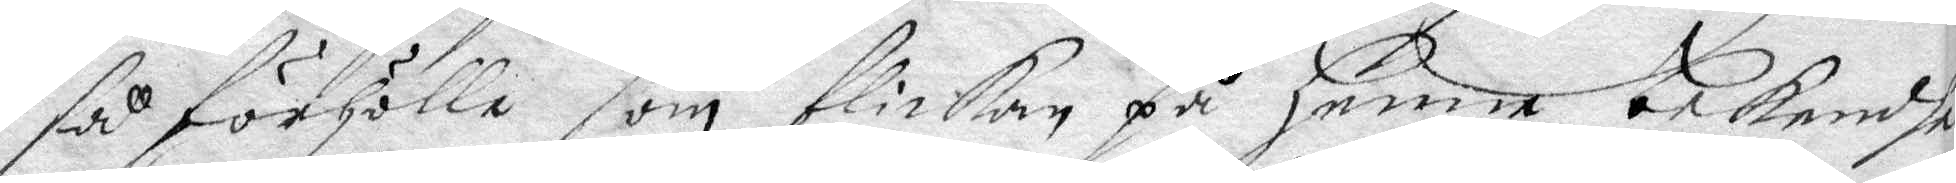så förhölle som flickan på henne bekendhe
